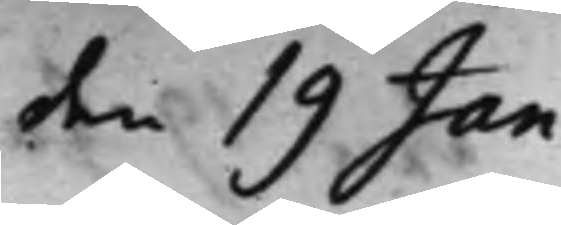den 19 Jan.
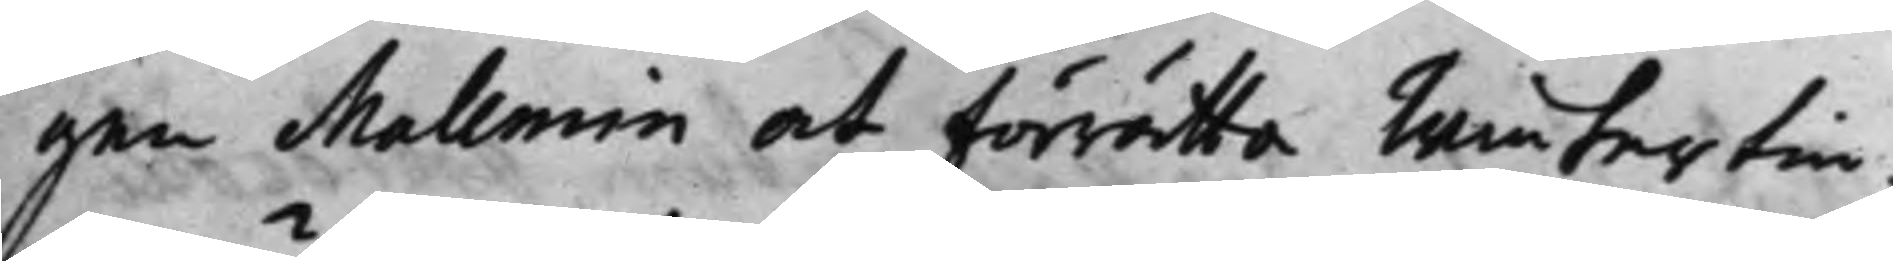gen Mallmin at förrätta Wintertin¬
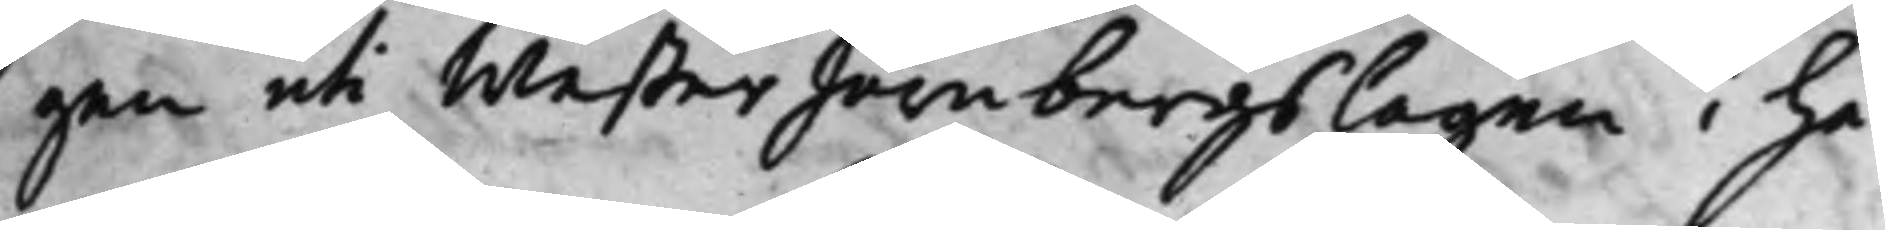gen uti WesterJärnbergs Lagen i Hä¬
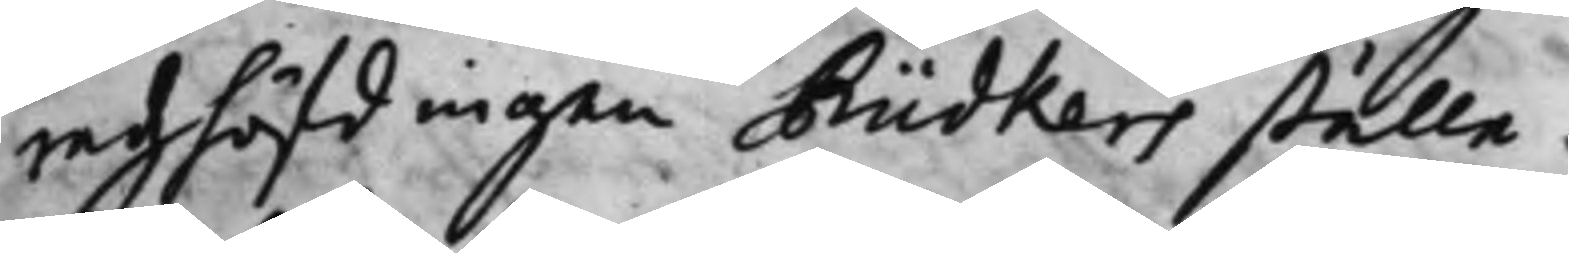radzhöfdingen Rüdkers ställe.
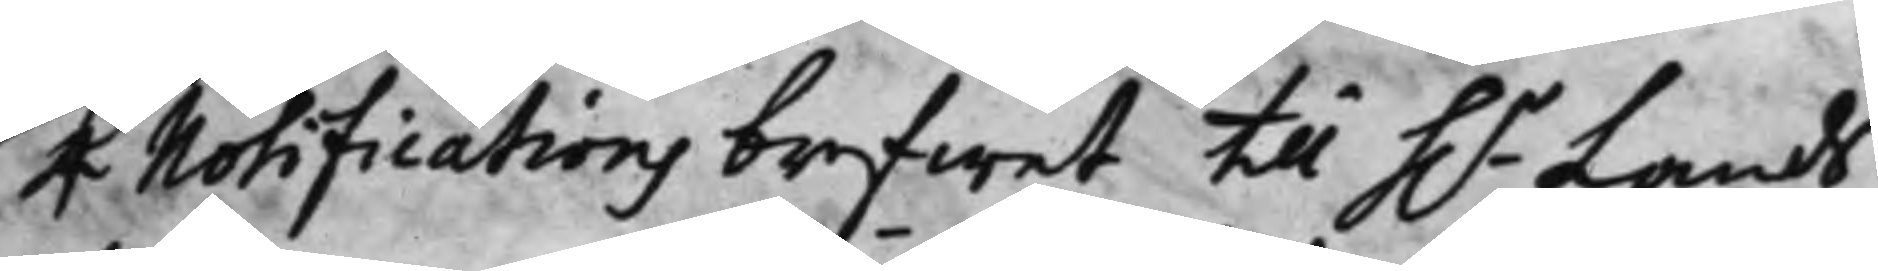4 Notifications brefwet till h.r Lands¬
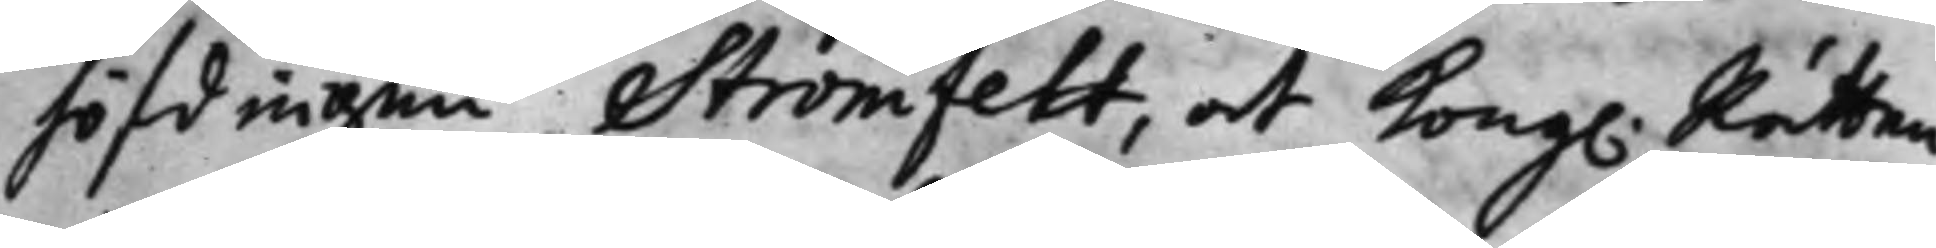höfdingen Strömfelt, at Kong. Rätten
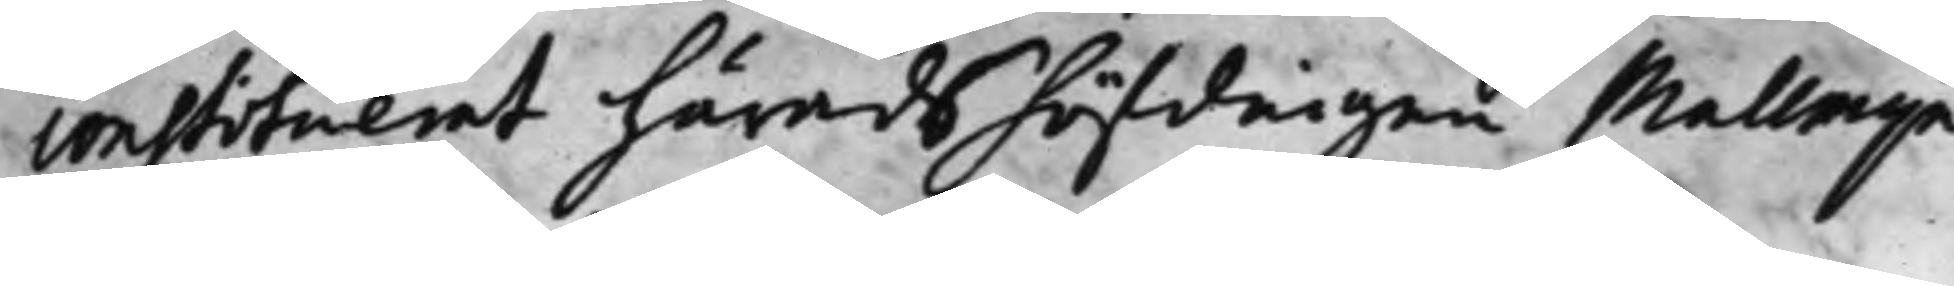constituerat häradshöfdingen Mallmijn
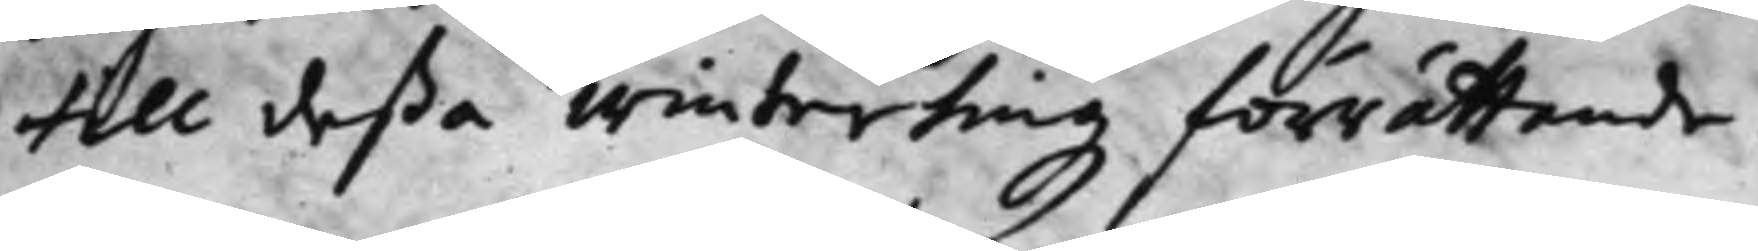till deßa Wintertingz förrättande.
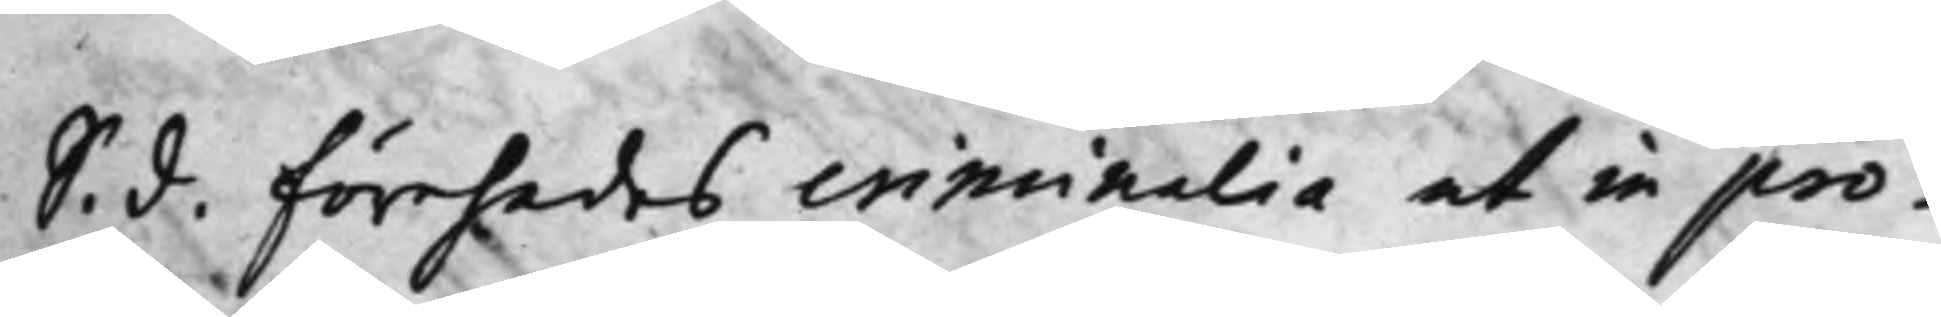S. d. förehades criminalia ut in pro¬
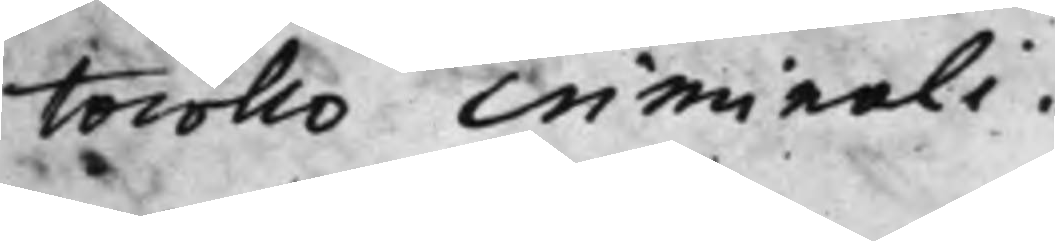tocollo Criminali.
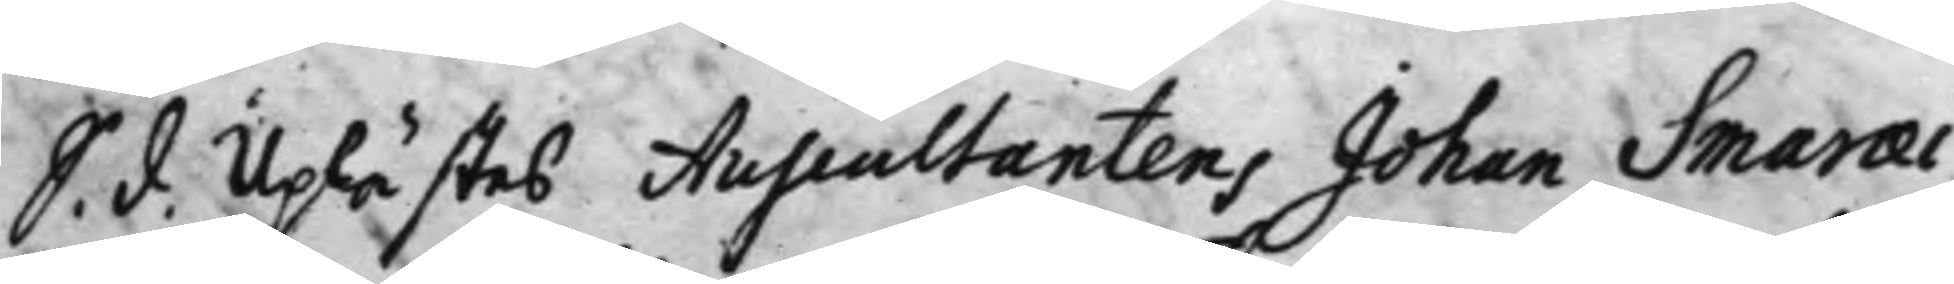S. d. Uplästes Auscultantens Johan Smaraei
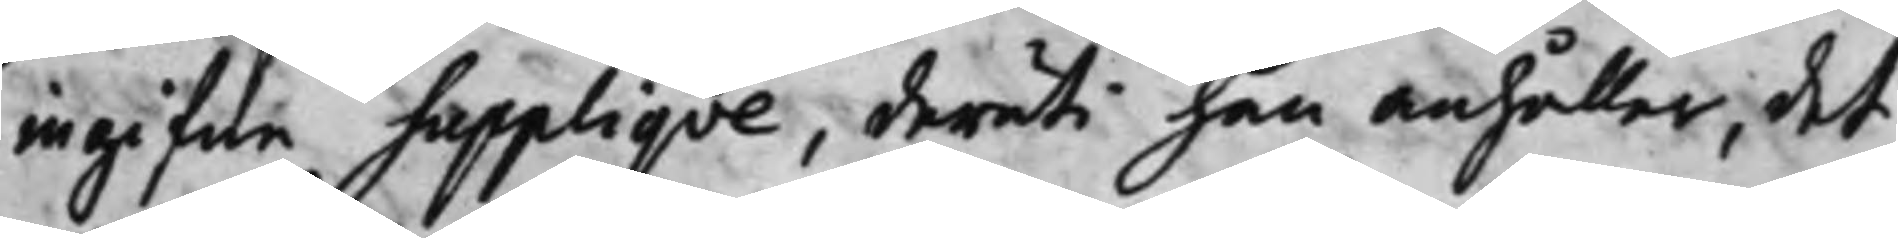ingifne Suppliqve, deruti han anhåller, det
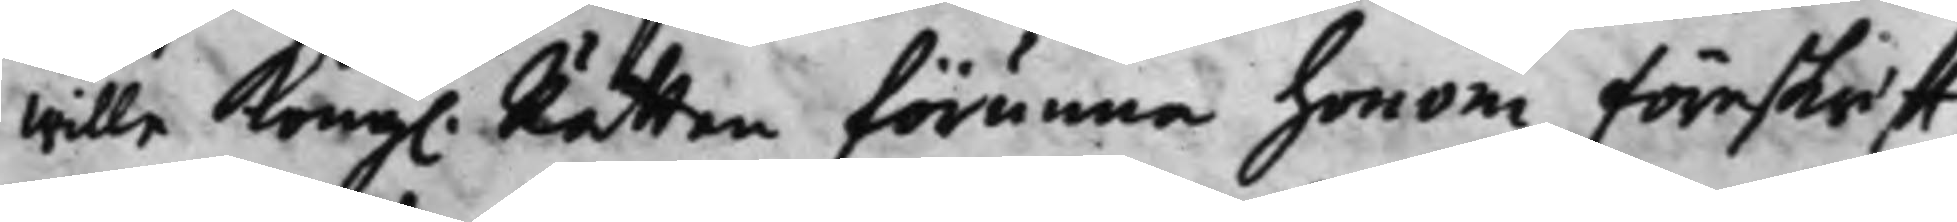wille Kongl. Rätten förunna honom föreskrift
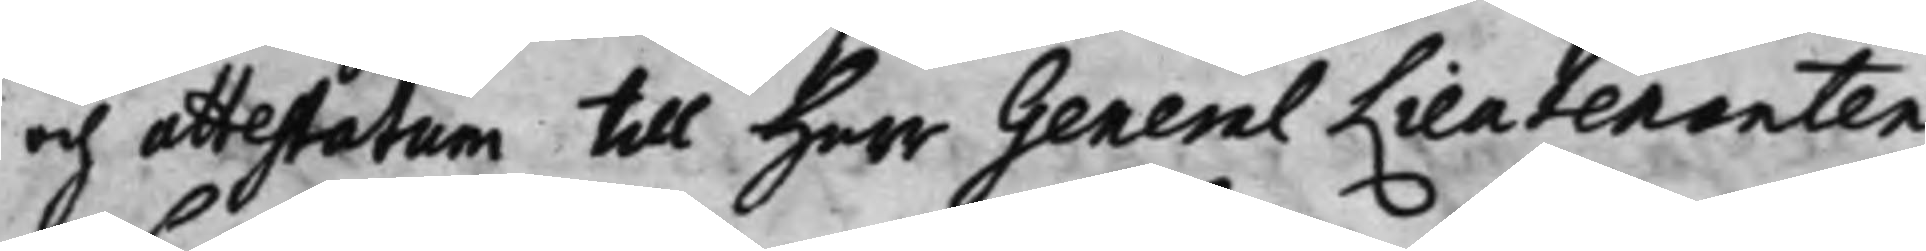och attestatum till Herr General Lieutenanten
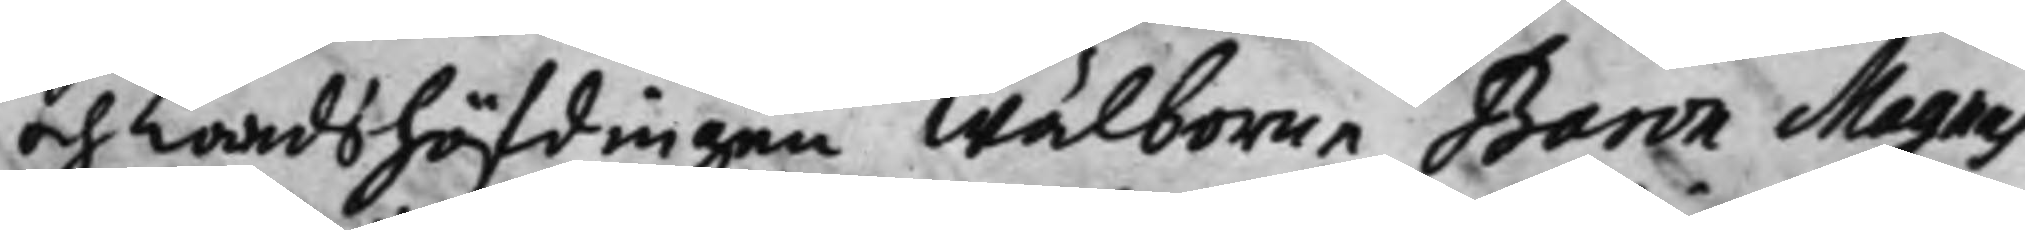och Landshöfdingen Wälborne Baron Magnus
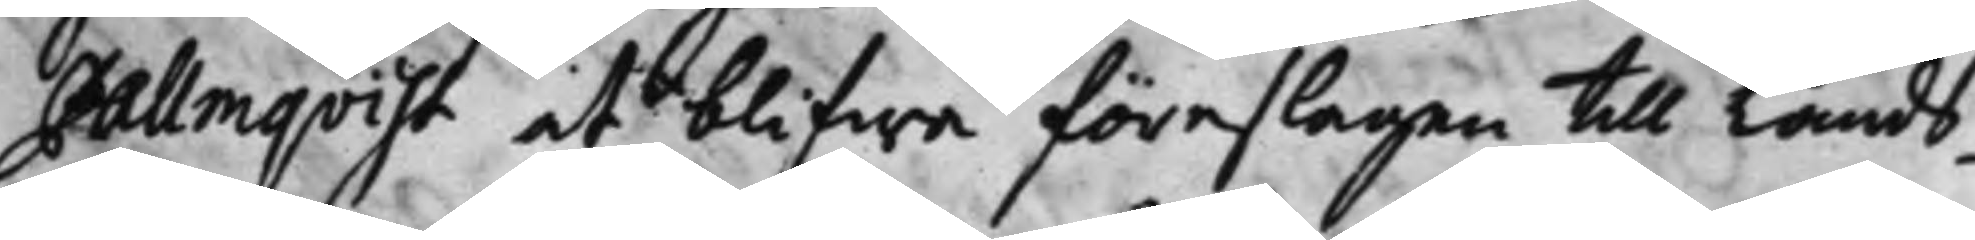Pallmqvist, at blifwa föreslagen till Lands¬
